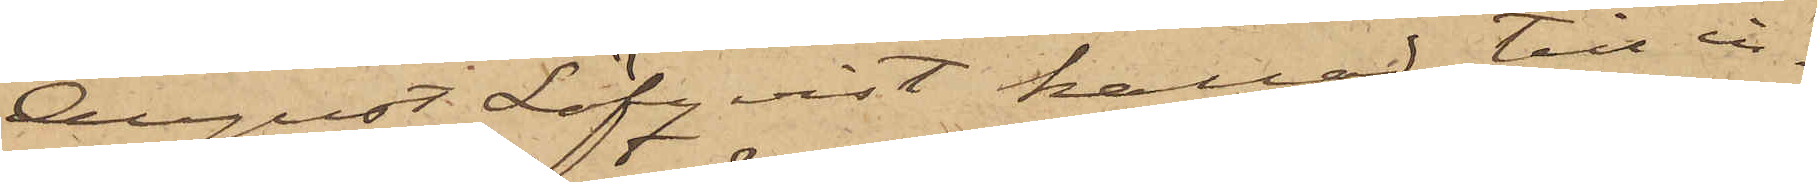August Löfqvist kallad till in¬
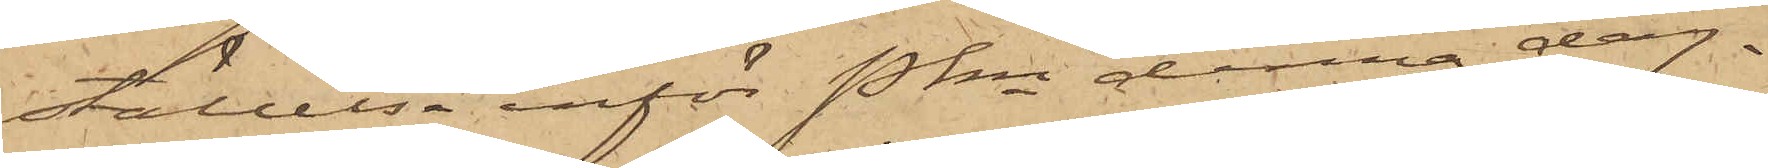ställelse inför Pkn denna dag.
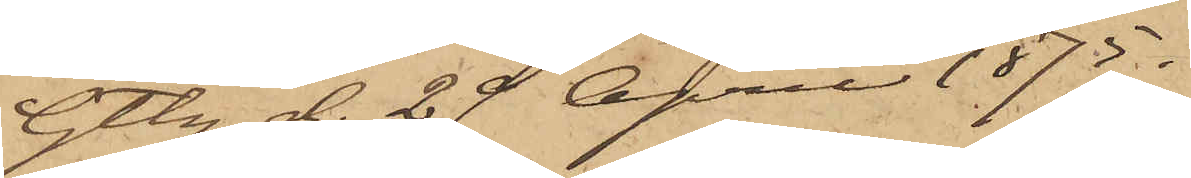Gtbg d. 29 April 1875.
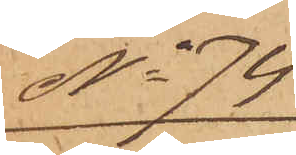No 74
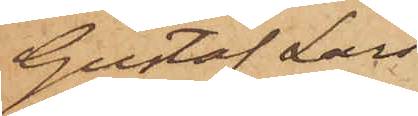Gustaf Lars¬
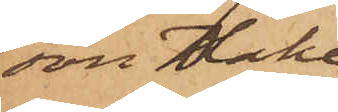son Hake
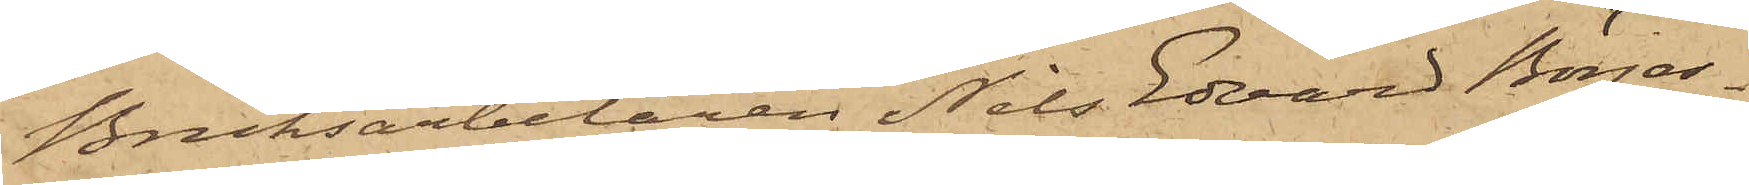Bruksarbetaren Nils Edvard Börjes¬
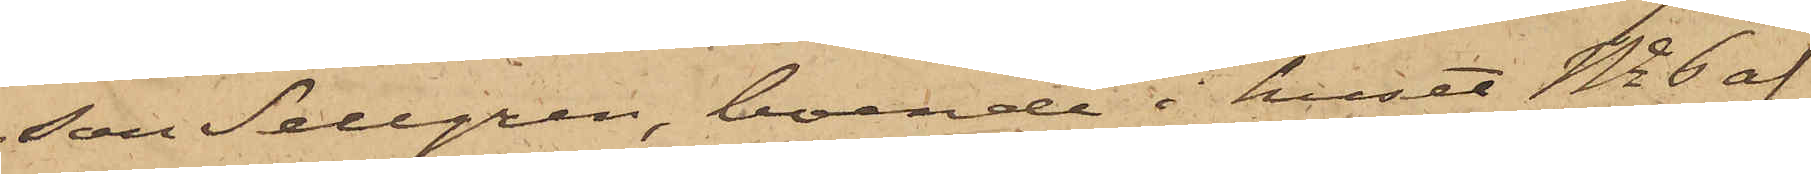son Sellgren, boende i huset No 6 af
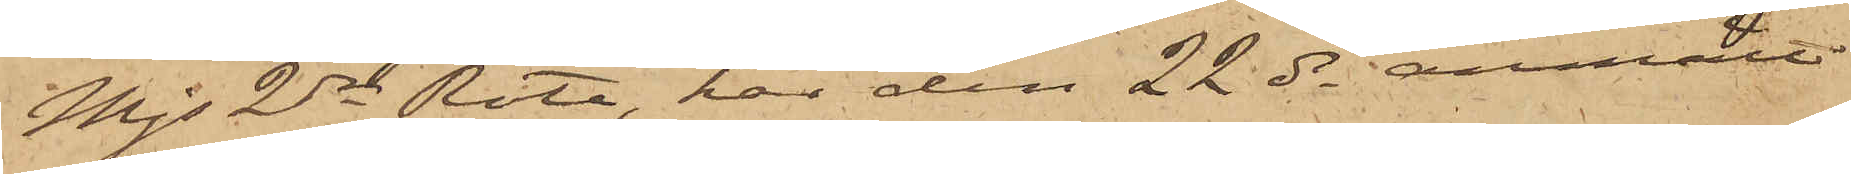Mjs 2dra Rote, har den 22 ds anmält
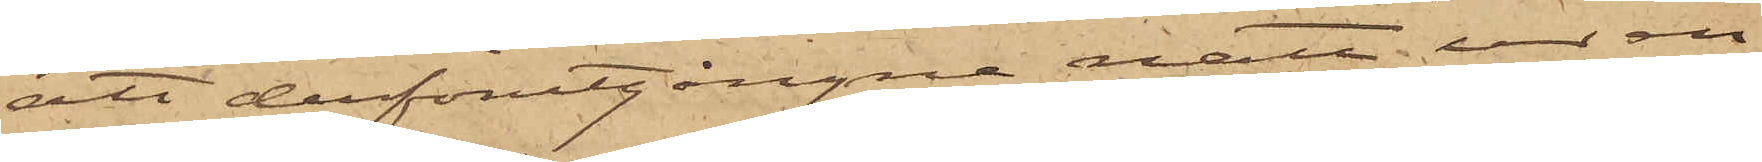att derförutgångne natt ur en
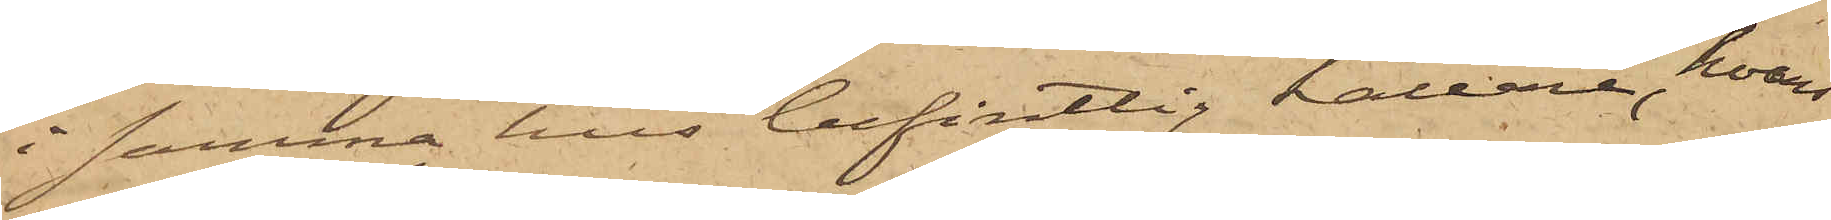i samma hus befintlig källare, hvars
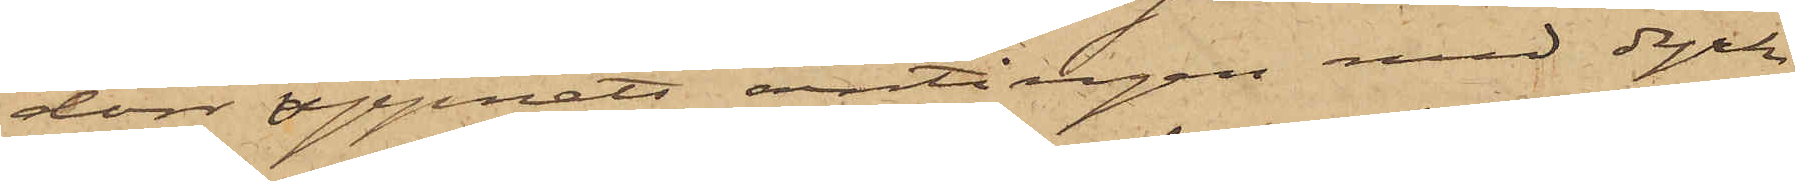dörr öppnats antingen med dyrk
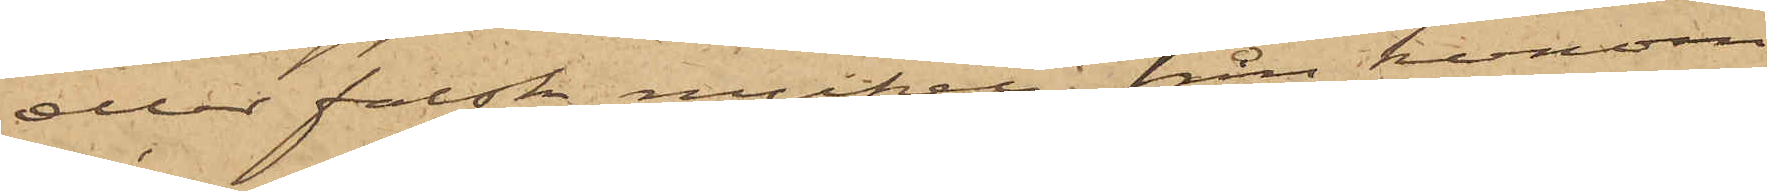eller falsk nyckel, från honom
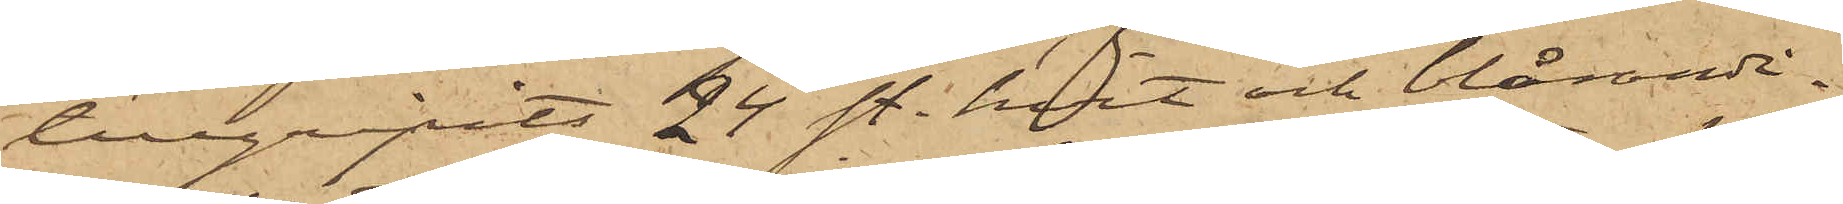tillgripits 24 st. hvit och blårandi¬
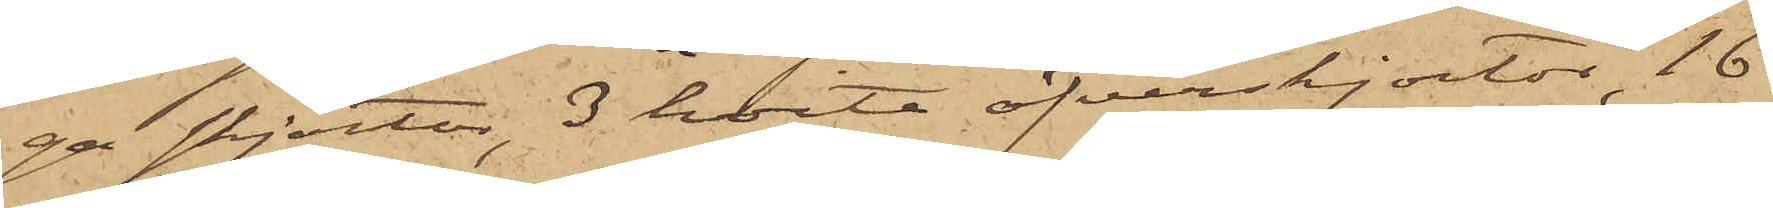ga skjortor, 3 hvita öfverskjortor, 16
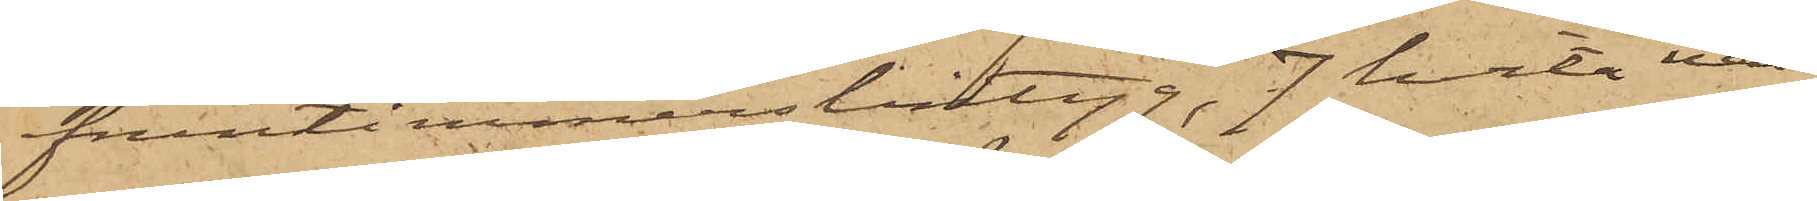fruntimmerslintyg, 7 hvita näs¬
